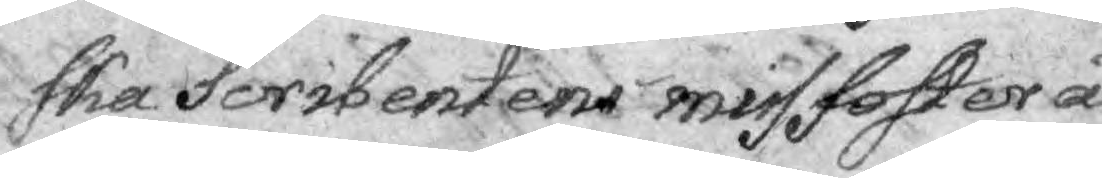ska Scribentens missfoster å¬
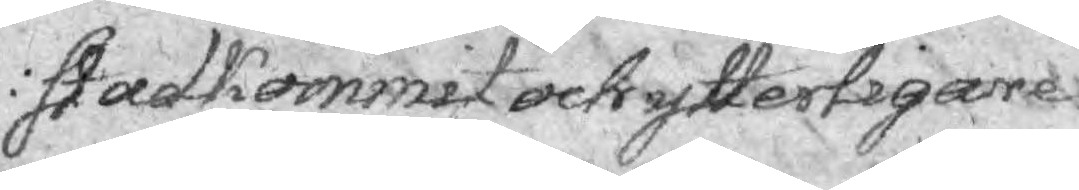stadkommit och ytterligare
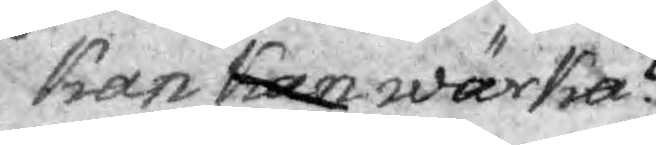kan kan wärka?
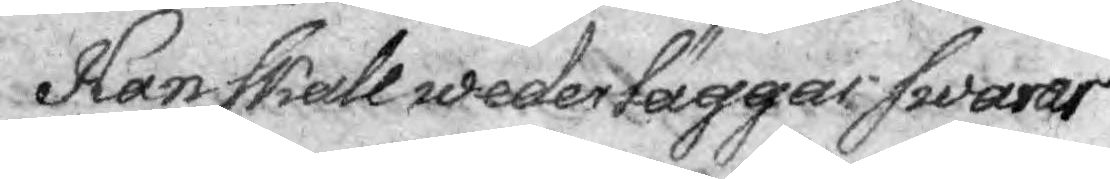Han skall wederlägga swarar
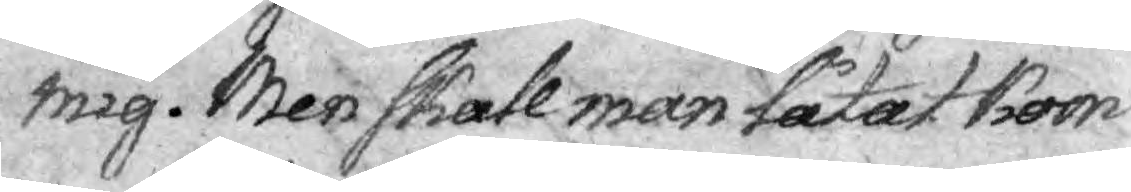mig. Men skall man fåtal kom¬
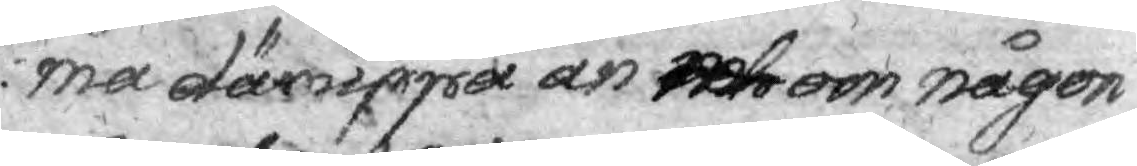ma däruppå an och om någon
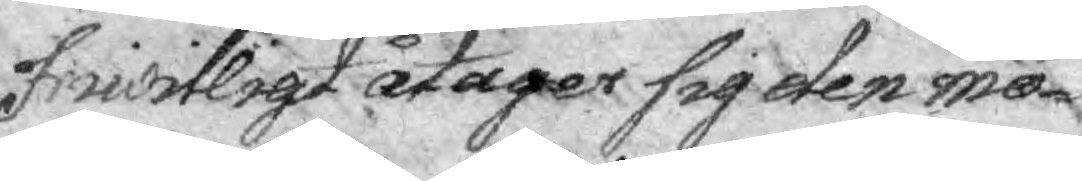frivilligt åtager sig den mö¬
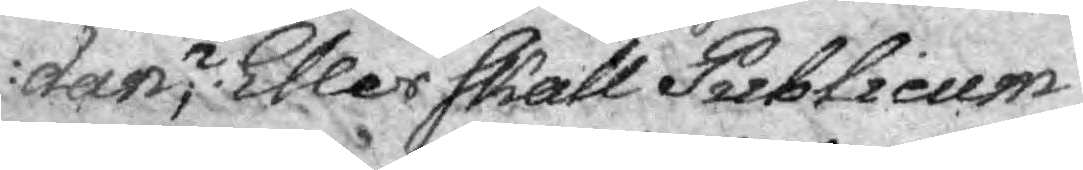dan? Eller skall Publicum
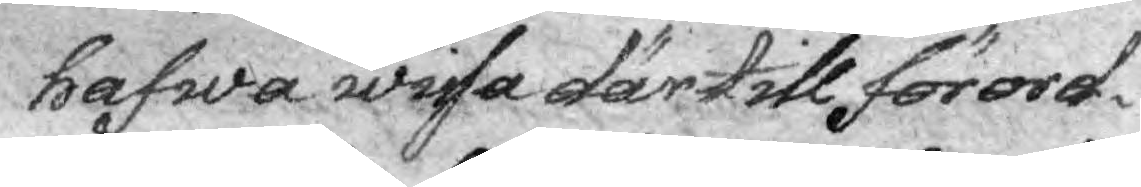hafwa wisa därtill förord¬
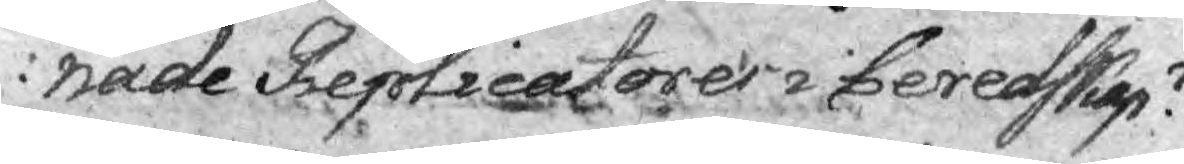nade Replicatorer i beredskap?
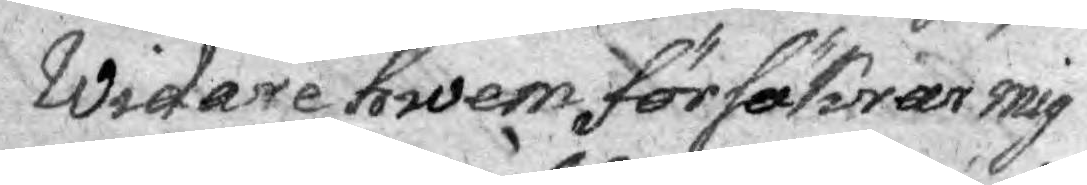Widare hwem försäkrar mig
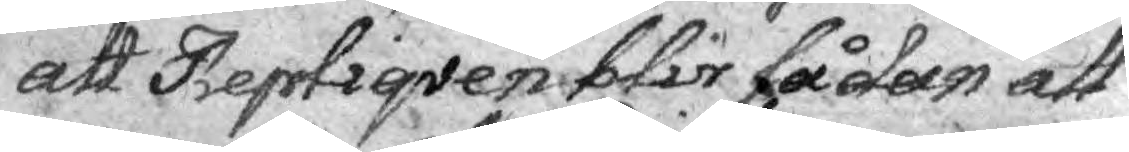att Repliqven blir sådan att
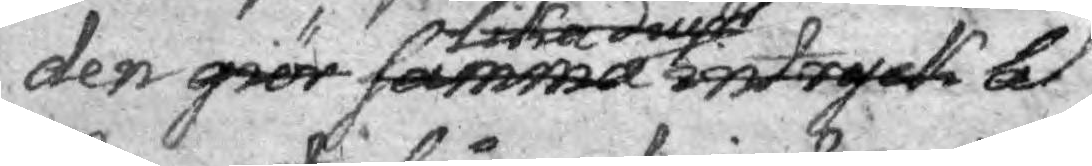den giör samma intryck bel
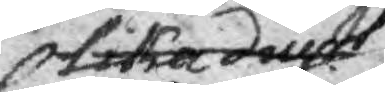lika diupt
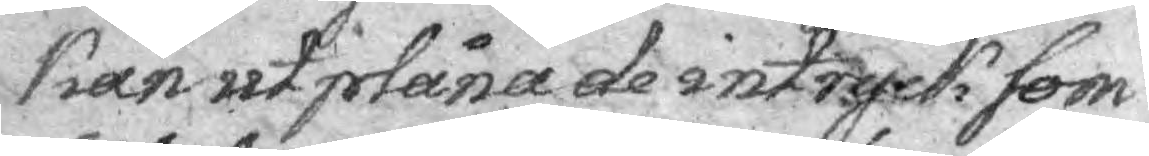kan utplåna de intryck som
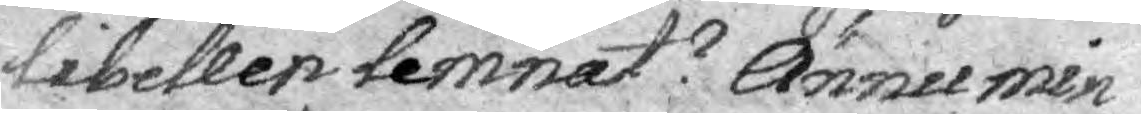Libellen lemnat? Ännu min¬
